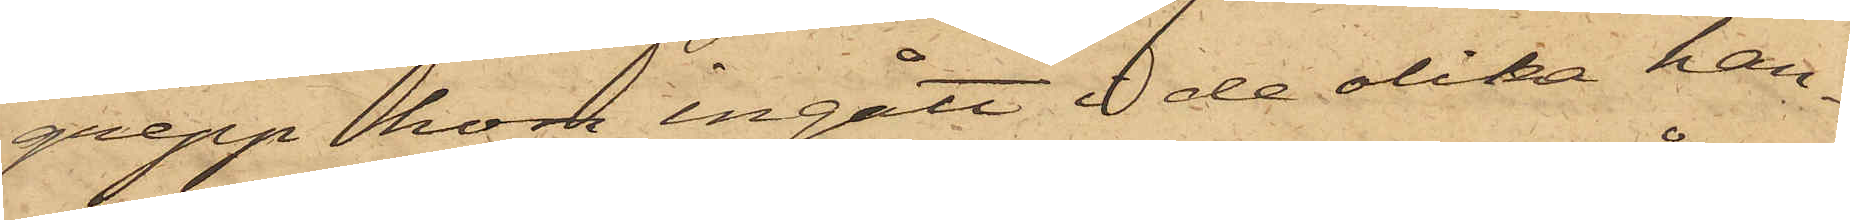grepp hon ingått å de olika han¬
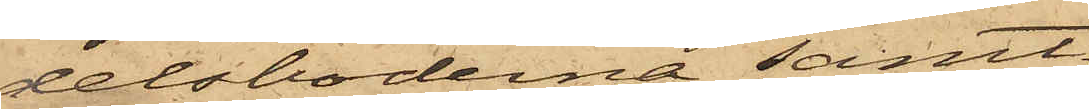delsboderna samt
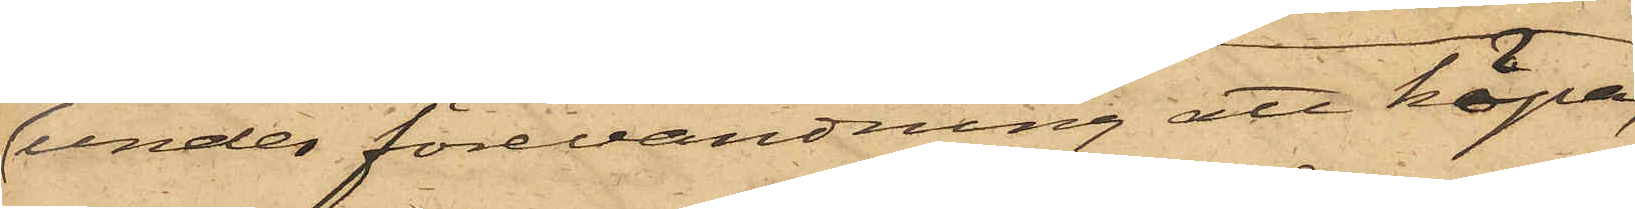under förevändning att köpa,
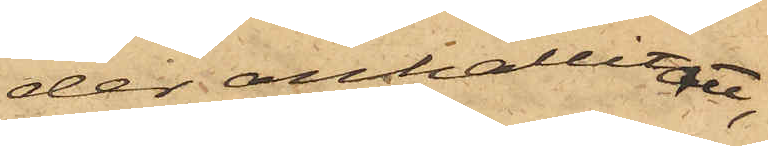der anhållit att,
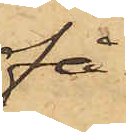få
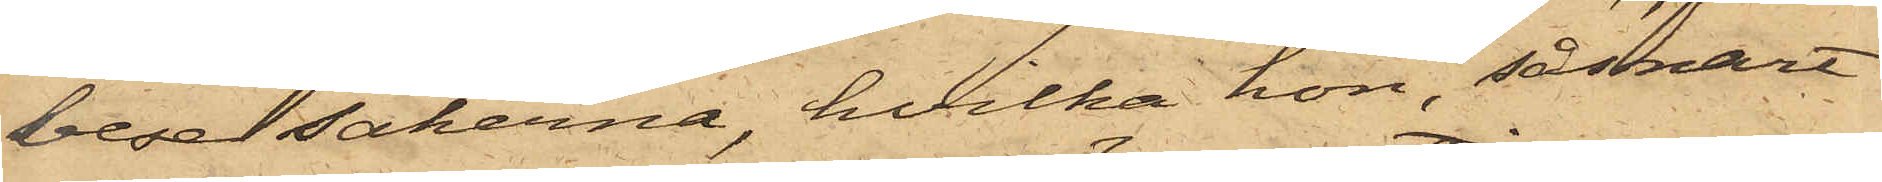bese sakerna, hvilka hon, såsnart
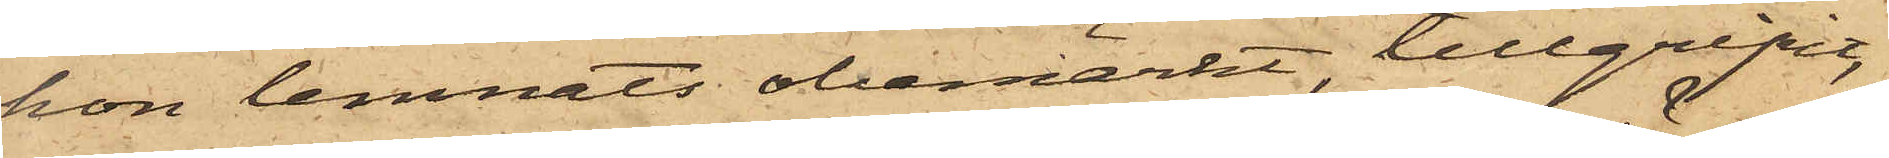hon lemnats obemärkt, tillgripit,
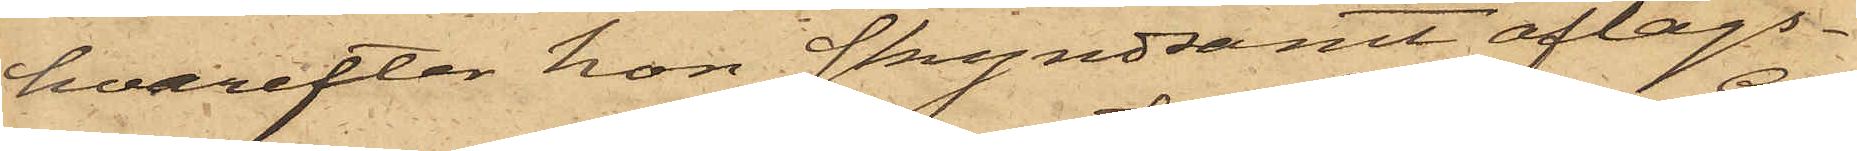hvarefter hon skyndsamt aflägs¬
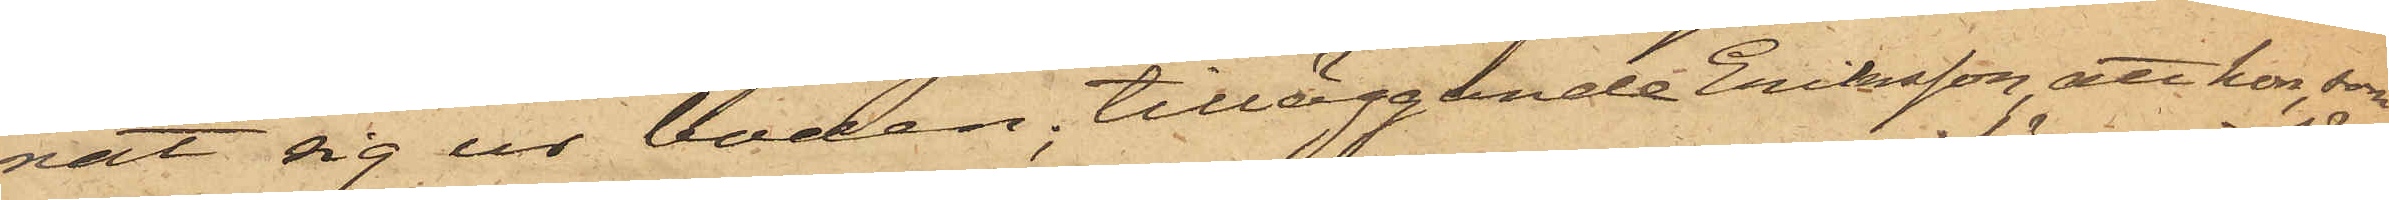nat sig ur boden, tilläggande Eriksson att hon, som
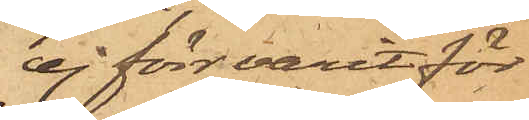ej förr varit för
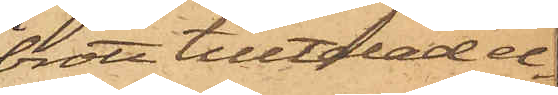brott tilltalad el¬
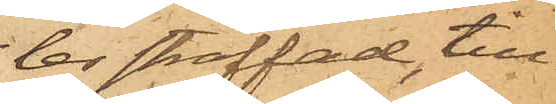ler straffad till¬
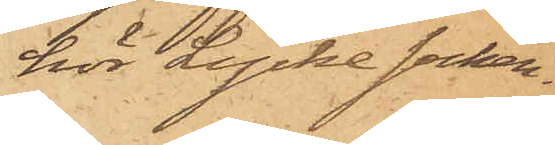hör Lycke Socken.
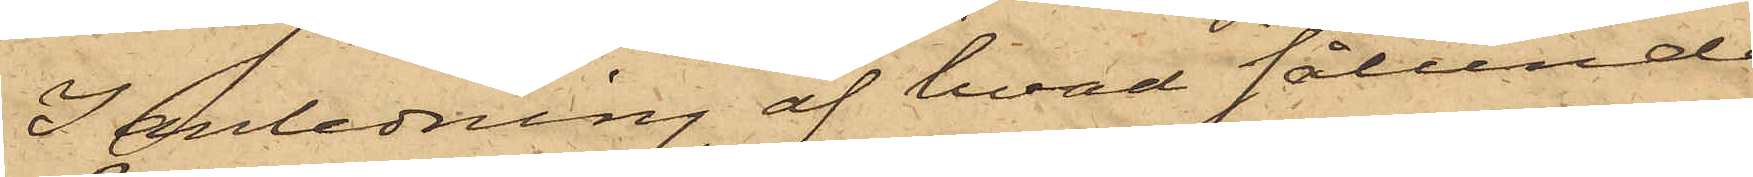I anledning af hvad sålunda
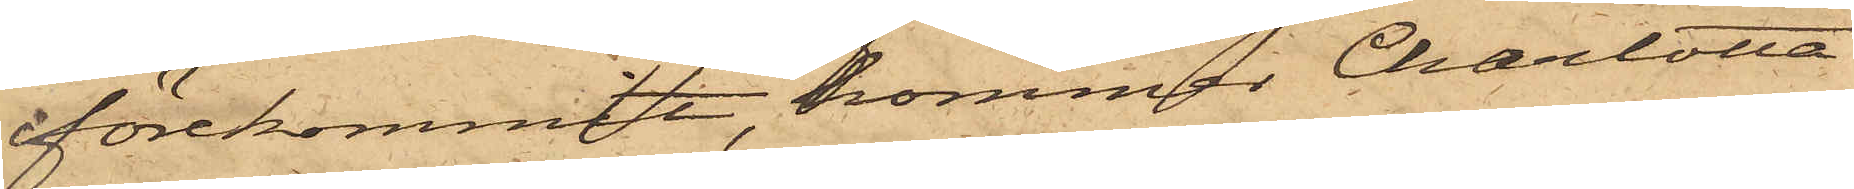förekommit, kommer Charlotta
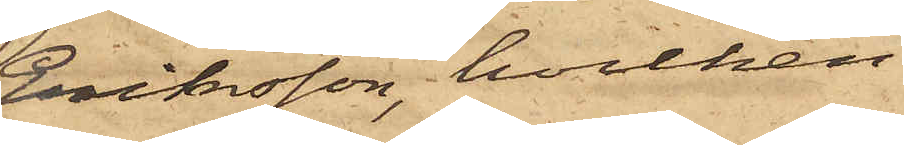Eriksson, hvilken
